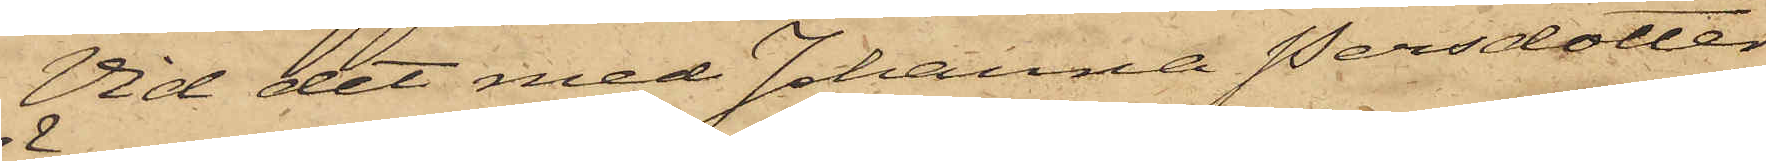Vid det med Johanna Persdotter
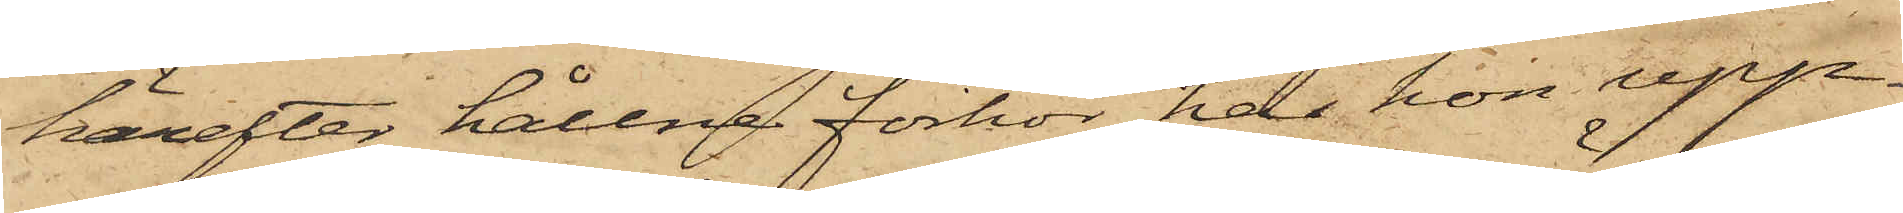härefter hållne förhör har hon upp¬
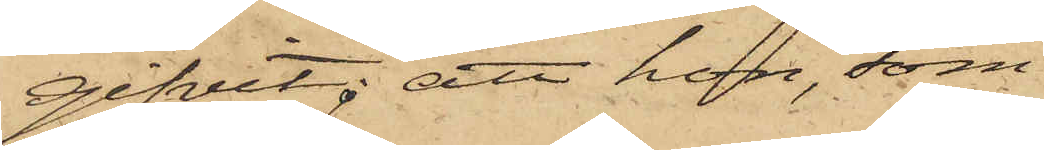gifvit; att hon, som
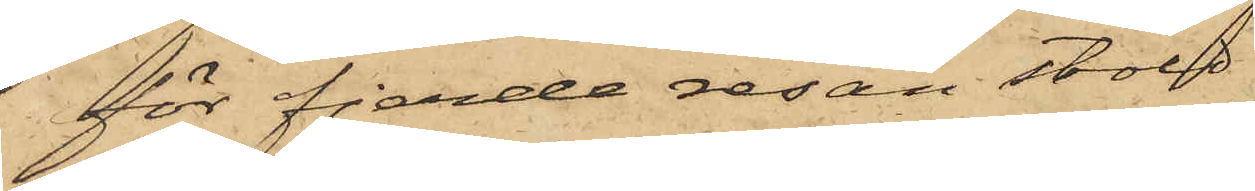för fjerde resan stöld
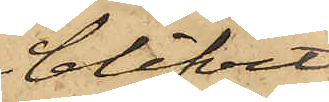blifvit
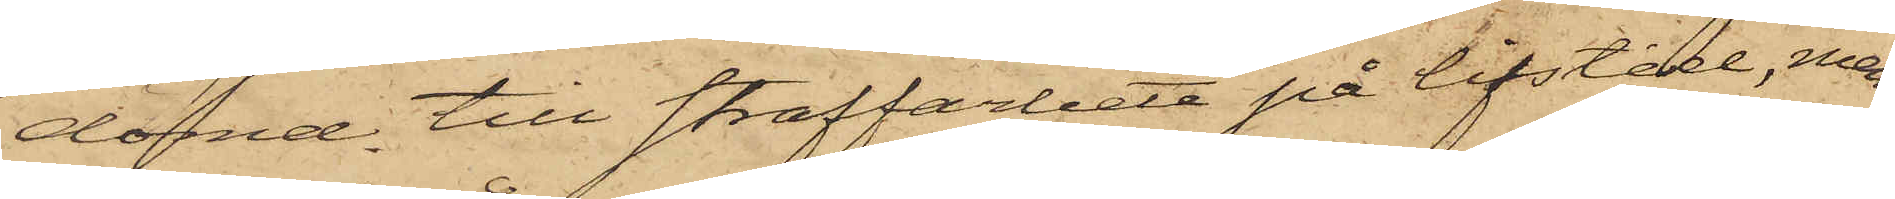dömd till straffarbete på lifstid, men
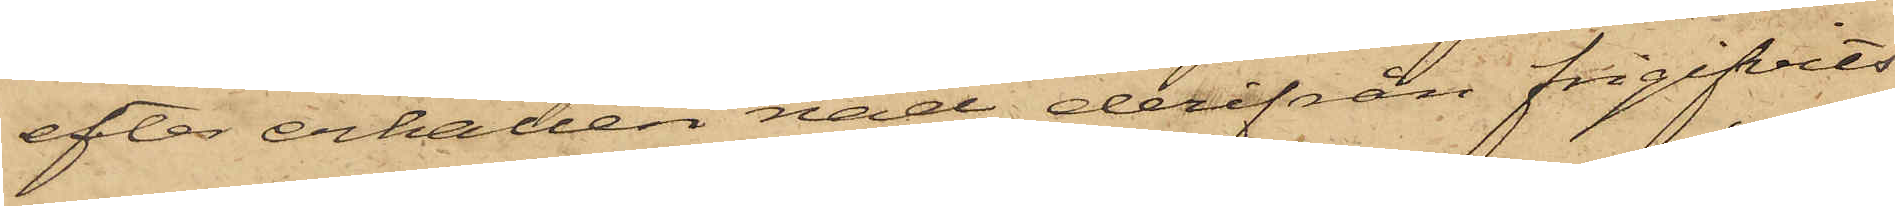efter erhållen nåd derifrån frigifvits
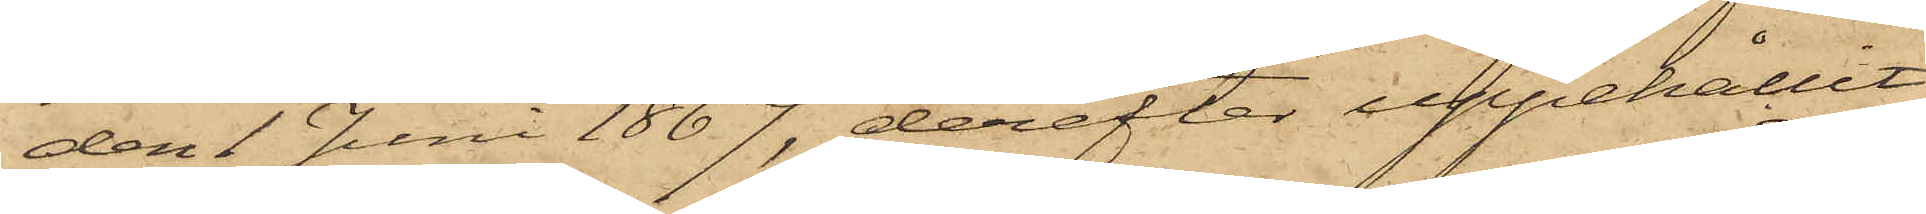den 1 Juni 1867, derefter uppehållit
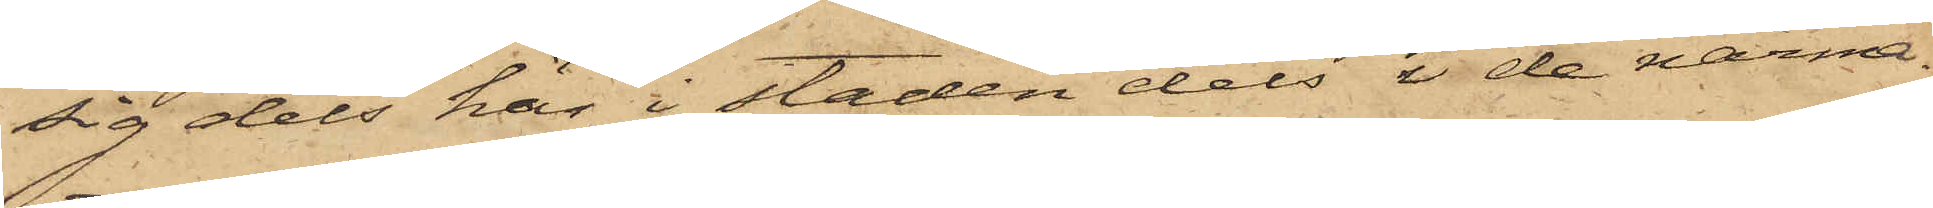sig dels här i staden dels i de närma¬
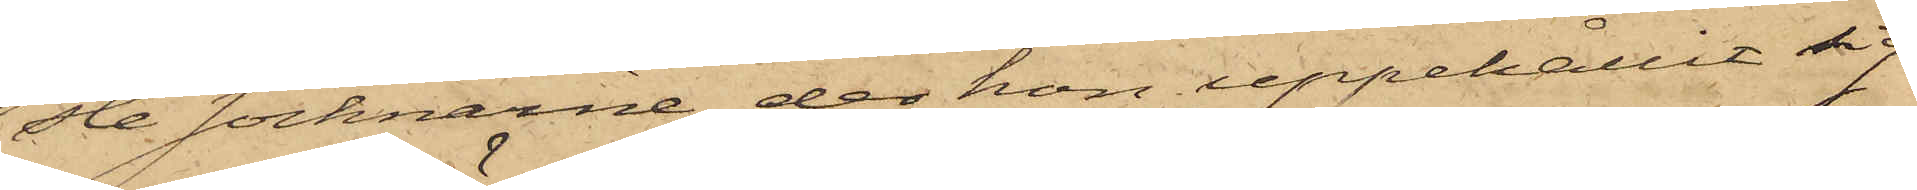ste socknarne, der hon uppehållit sig
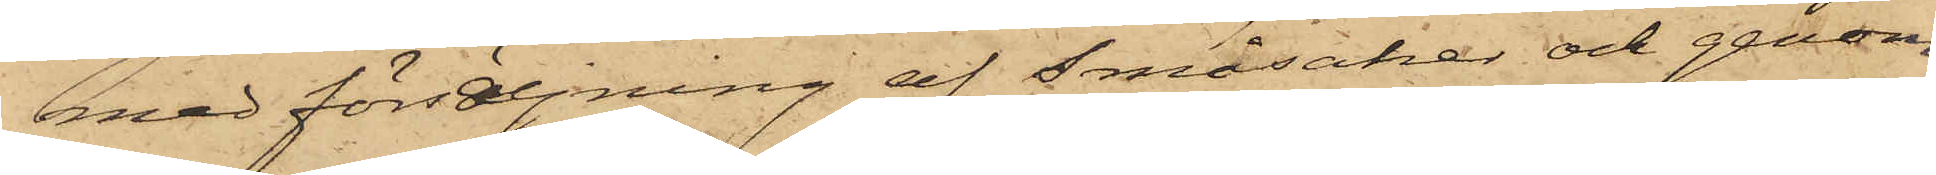med försäljning af småsaker och genom
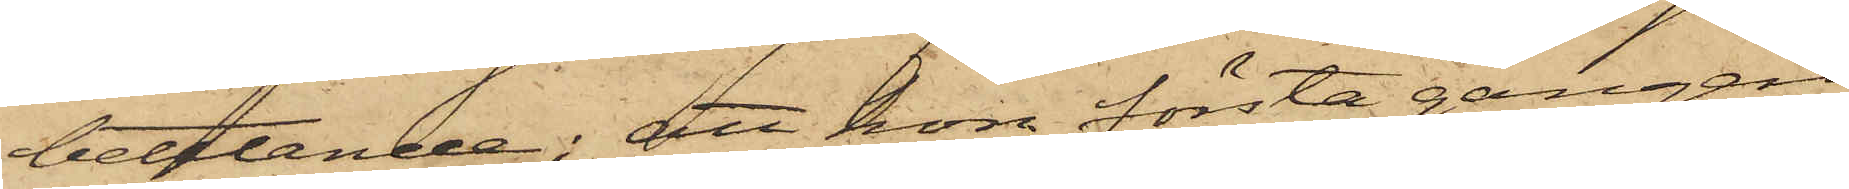bettlande; att hon första gången
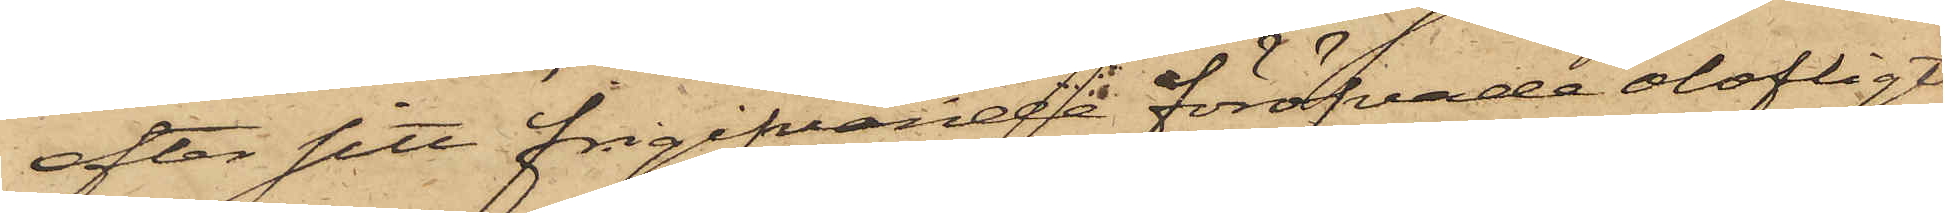efter sitt frigifvande föröfvade olofligt
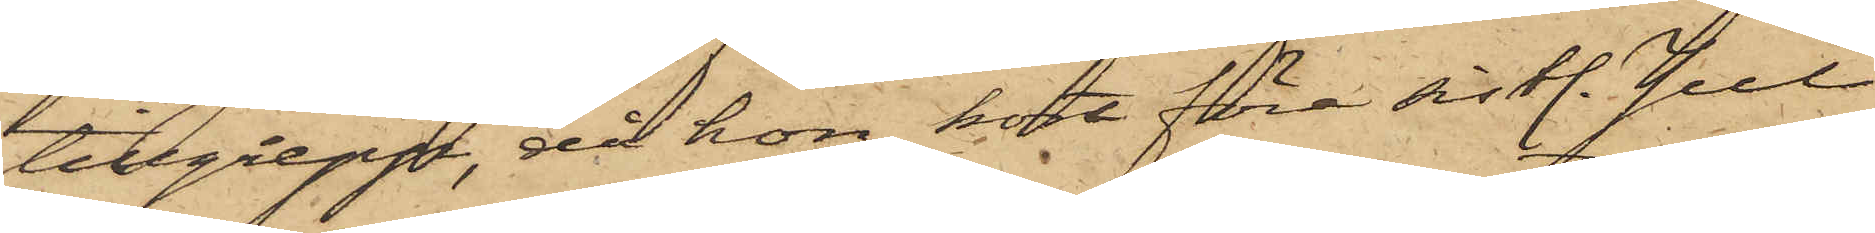tillgrepp, då hon kort före sistl. Jul
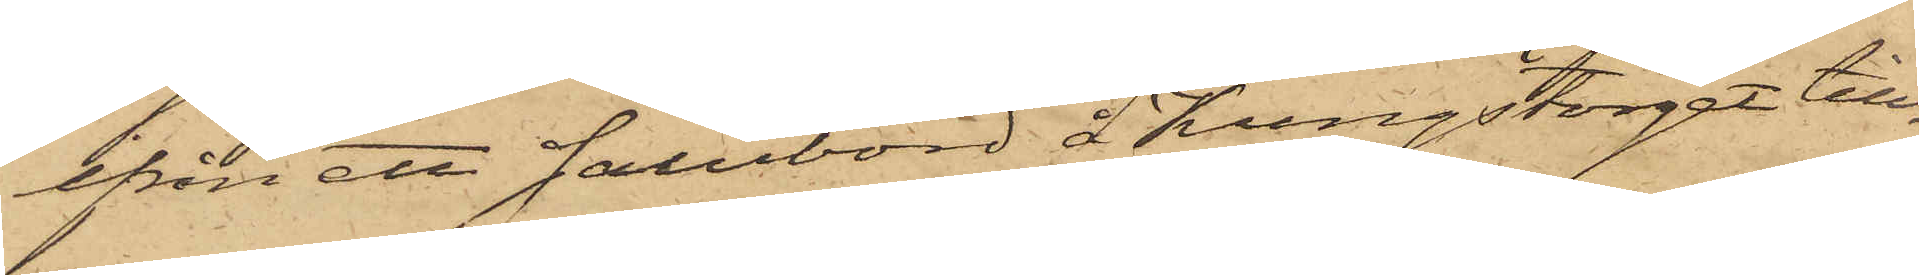ifrån ett salubord å Kungstorget till¬
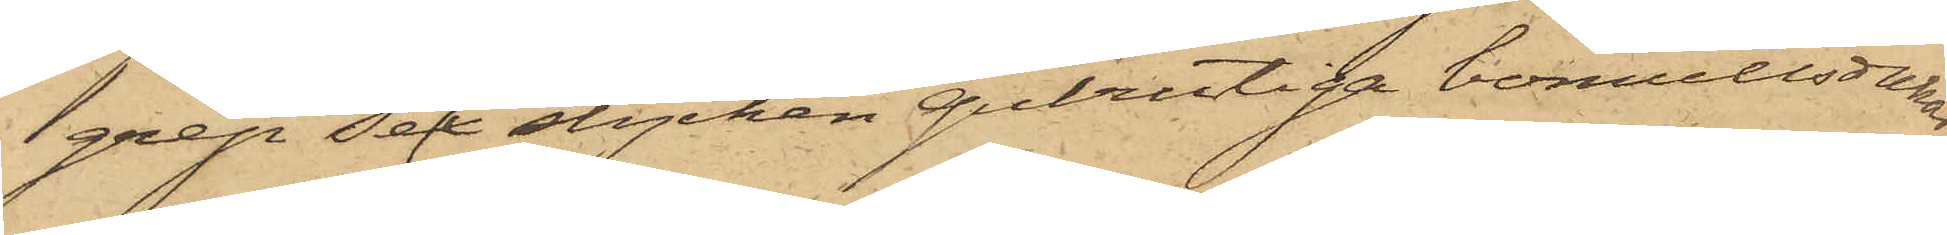grep sex stycken gulrutiga bomullsdukar,
